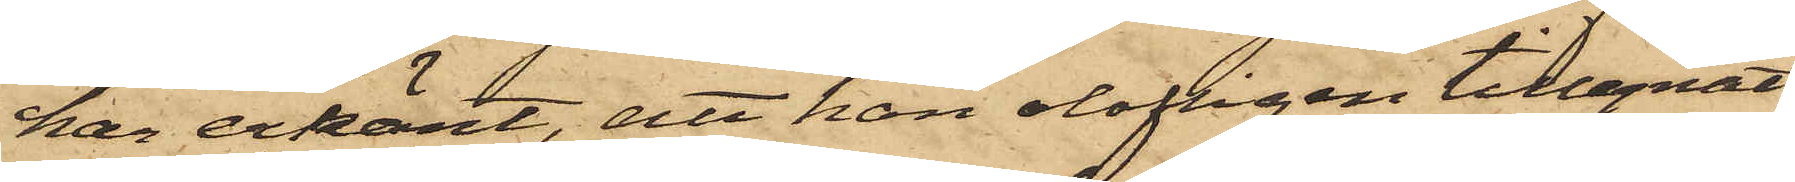han erkänt, att han olofligen tillegnat
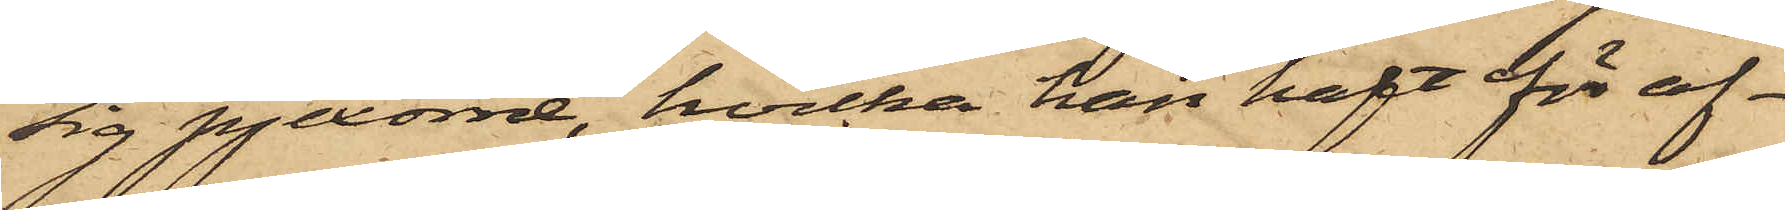sig pjexorna, hvilka han haft för af¬
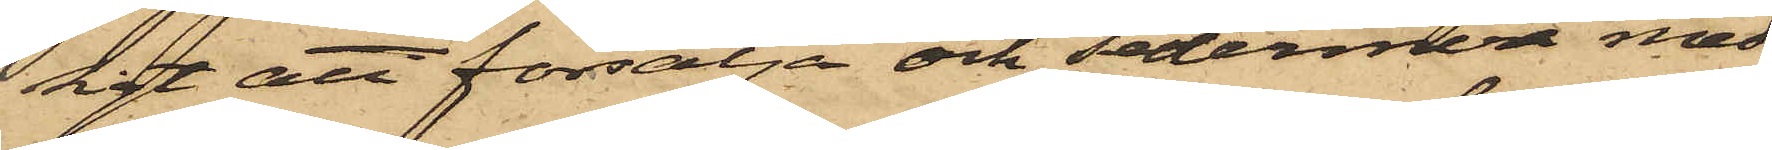sigt att försälja och sedermera med
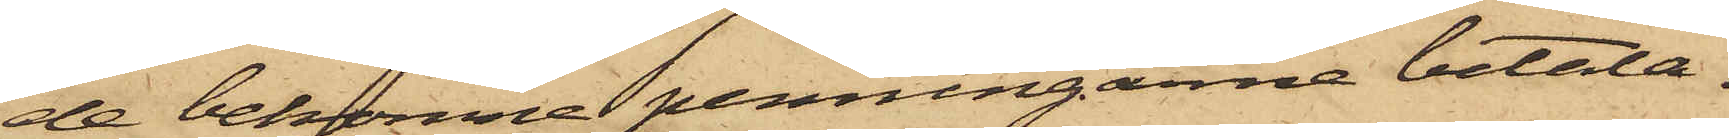de bekomne penningarne betala,
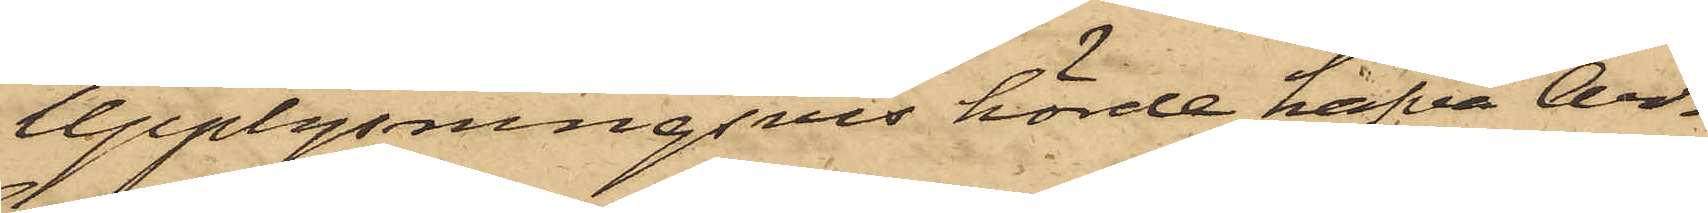Upplysningsvis hörde hafva Ar¬
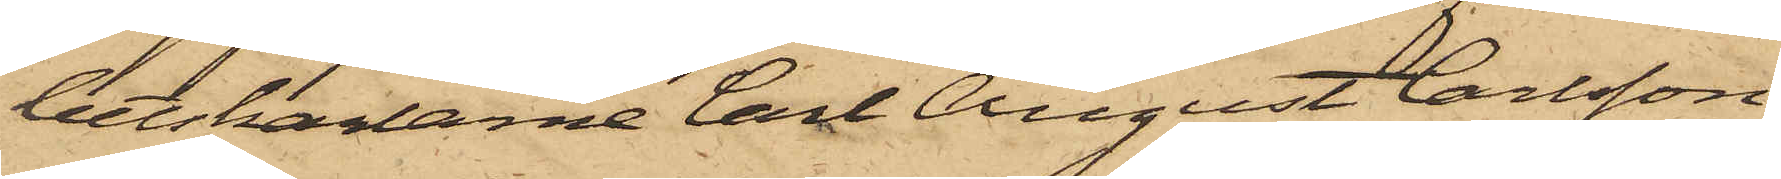betskarlarne Carl August Carlsson,
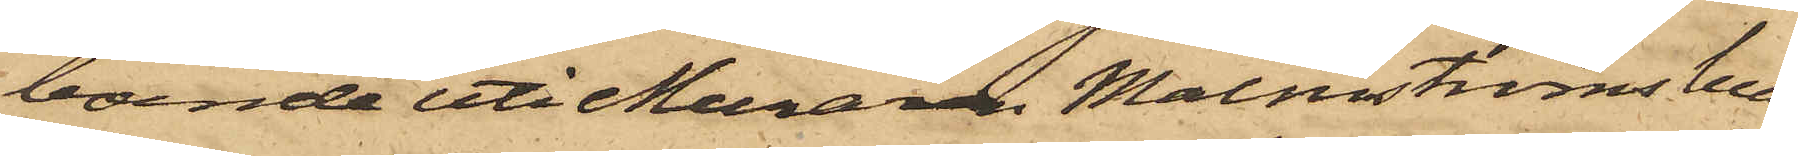boende uti Muraren Malmströms hus
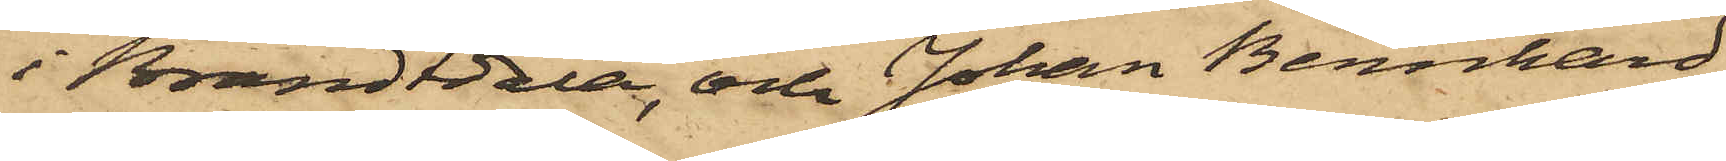i Brandtdala, och Johan Bernhard
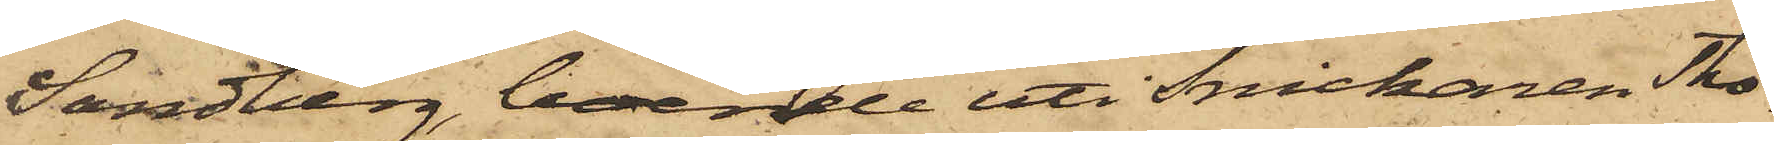Sandberg, boende uti Snickaren Tho¬
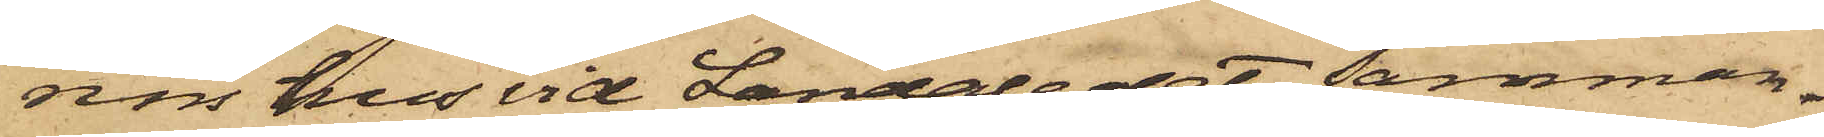rins hus vid Landaledet, samman¬
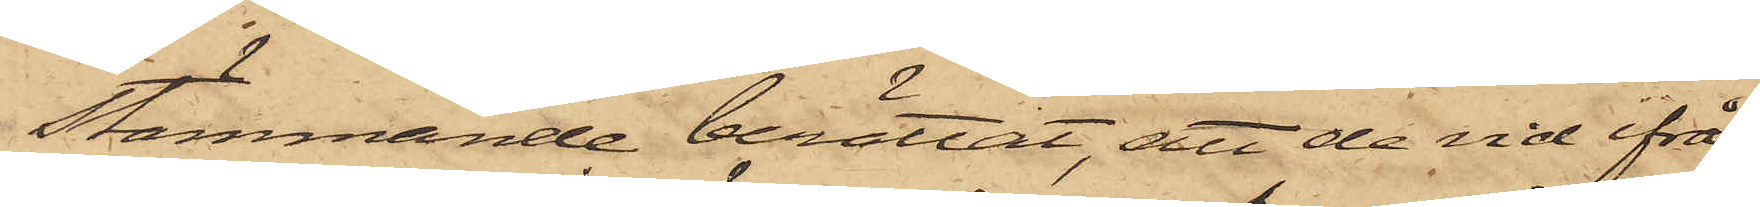stämmande berättat, att de vid ifrå¬
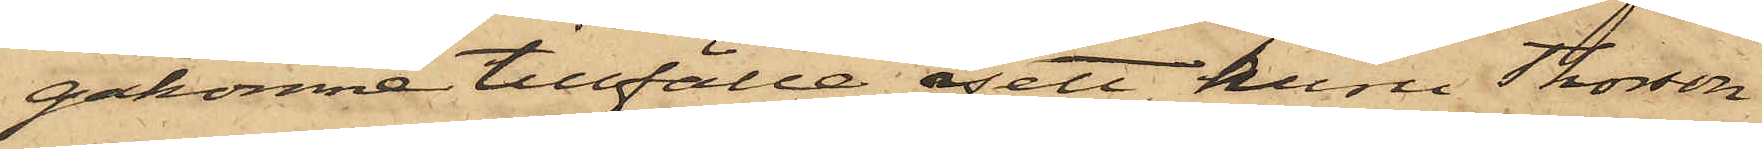gakomne tillfälle sett huru Thorsson
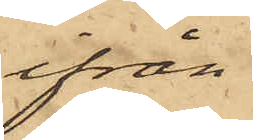ifrån
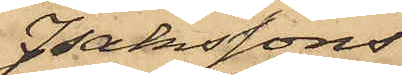Isakssons
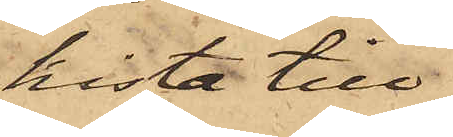kista till¬
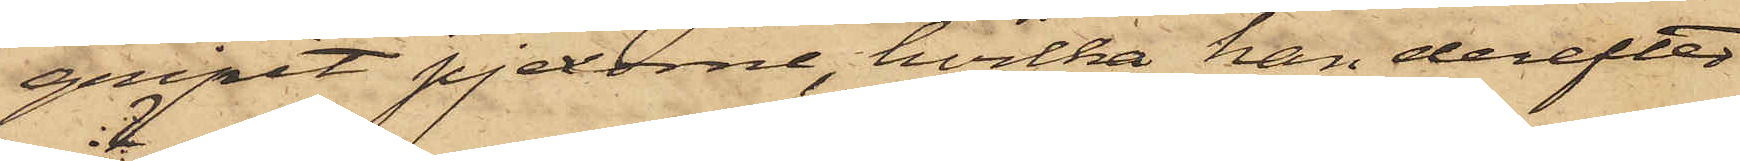gripit pjexorna, hvilka han derefter
